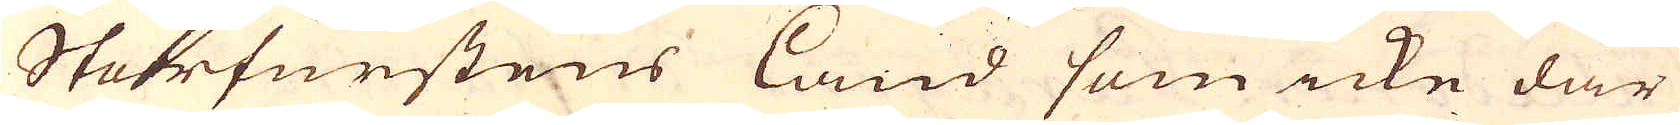Storfurstens land som icke där
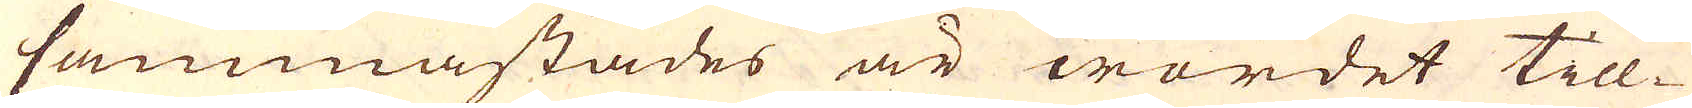sammastädes är wordet till-
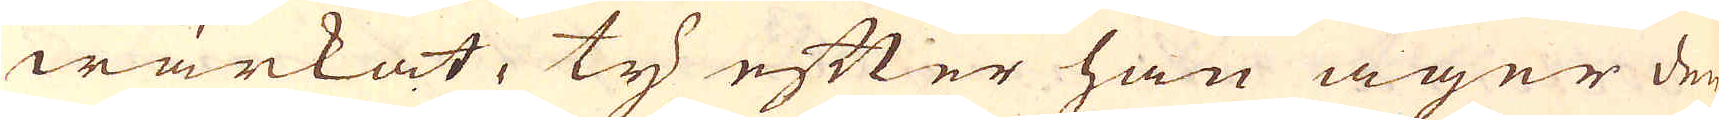wärkat, ty efter han äger den
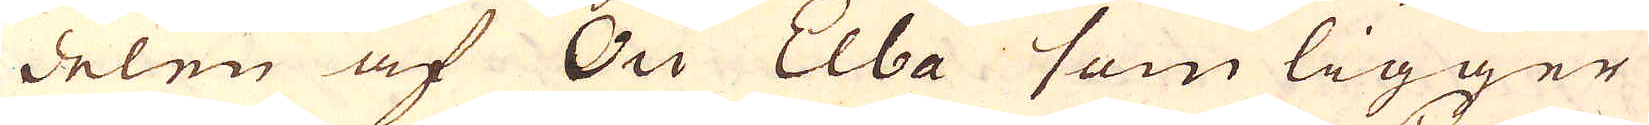delen af Ou Elba som ligger
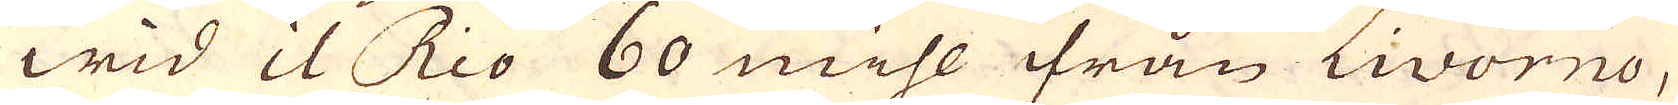wid il Rio 60 mihl ifrån Livorno,
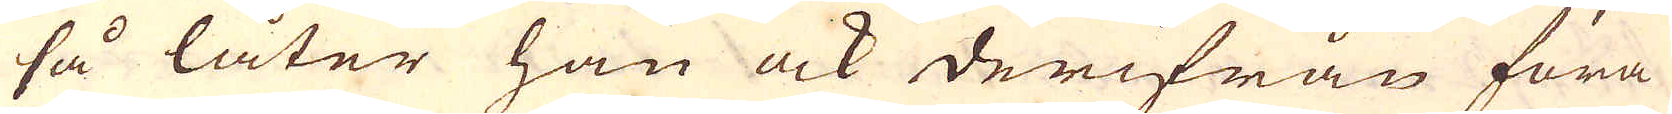så låter han ock derifrån föra
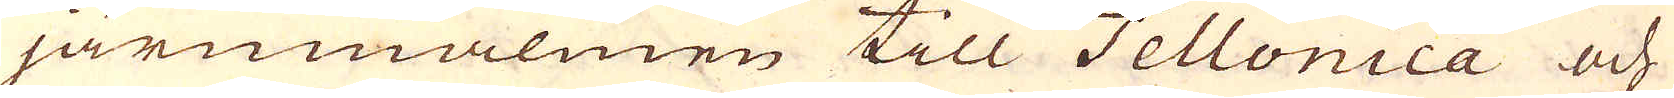järnmalmen till Tellonica och
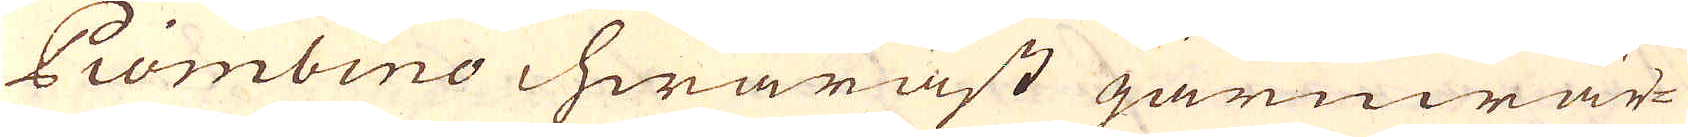Piombino hwaräst järnwär-
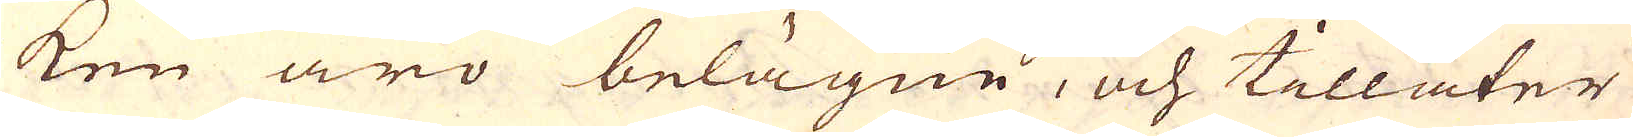ken äro belägne, och tillåter
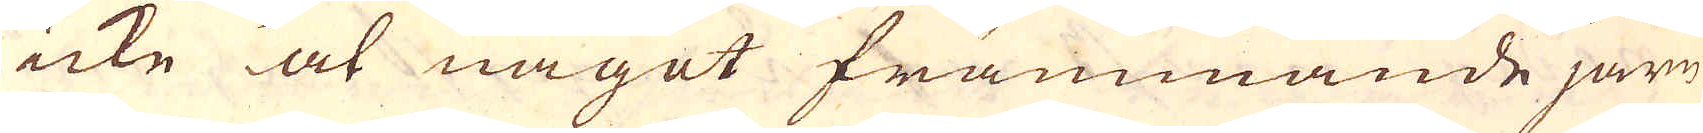icke at något främmande järn
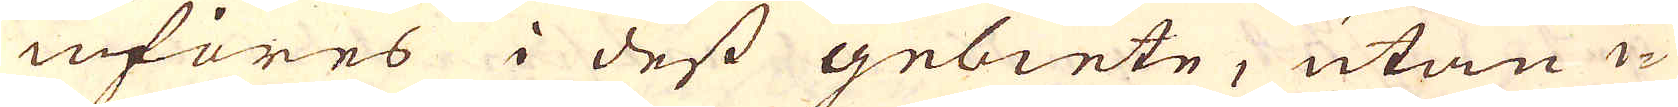införes i dess gebiete, utan i-
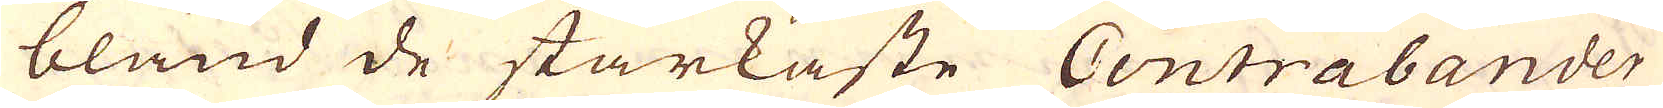bland de starkaste Contrabander
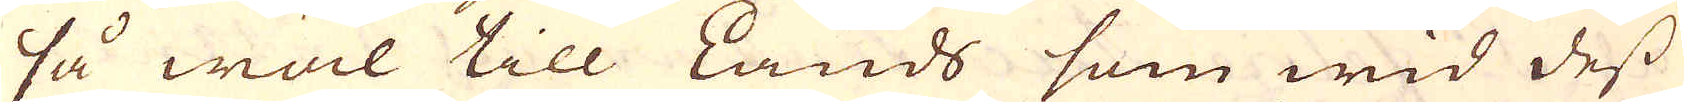så wäl till Lands som wid dess
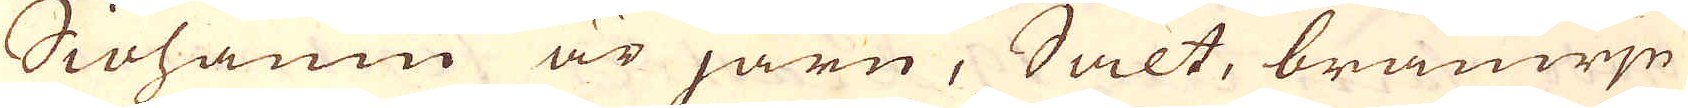Siöhamn är järn, Salt, bränwjn
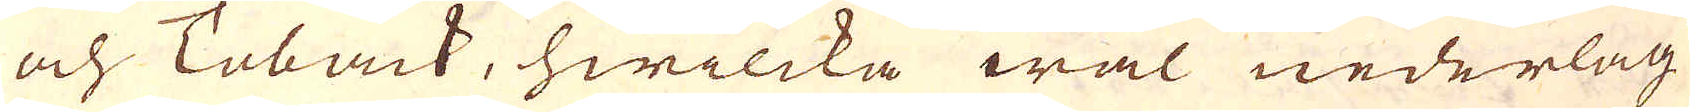och Toback, hwilcka wäl nederlag
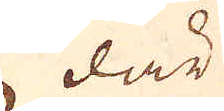där
